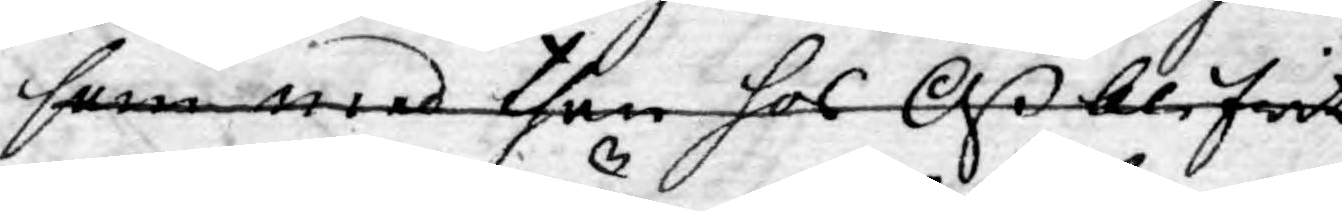som med then hos Oß blifwit
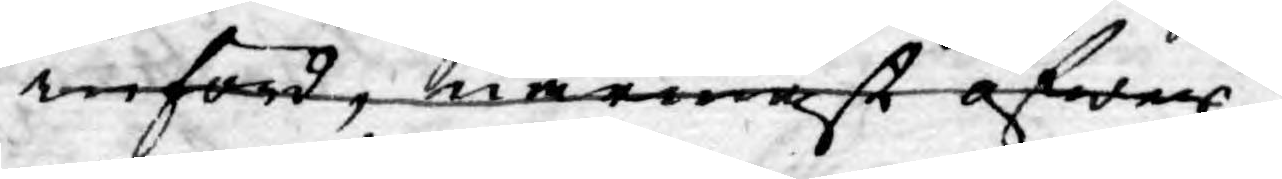införd, närmast öfwer¬
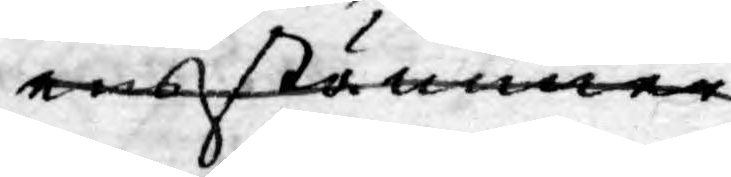ensstämmer.
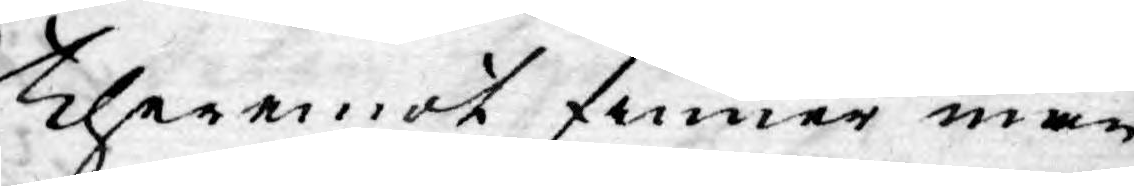Theremot finner man
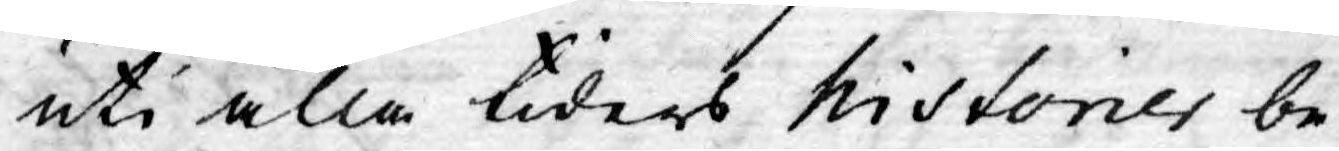uti alla tiders historier be¬
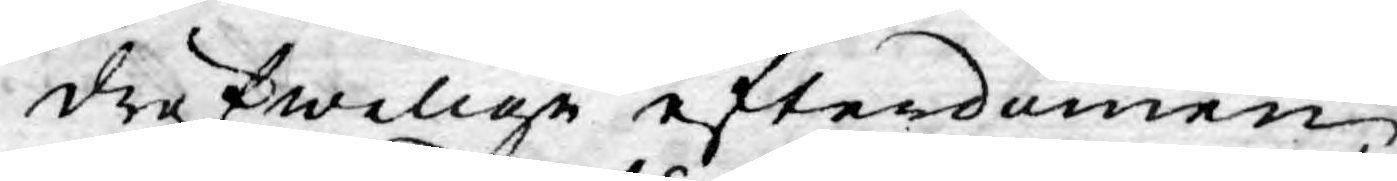dröfwelige efterdömen,
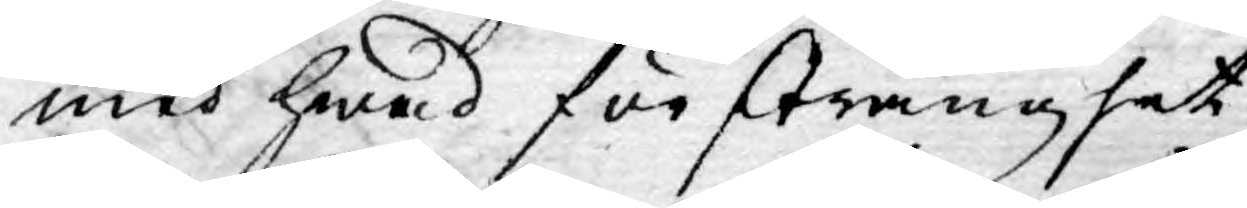med hwad för stränghet
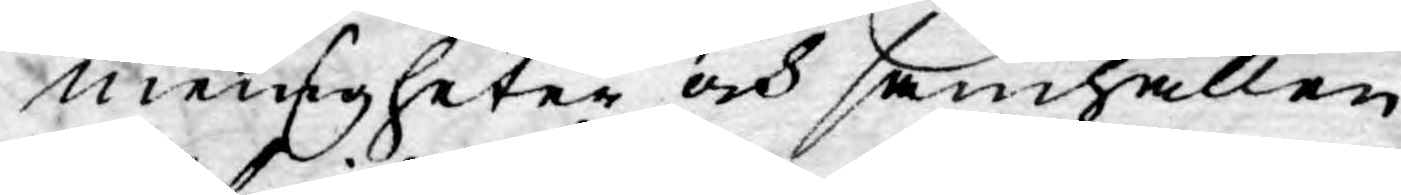menigheter och samhällen
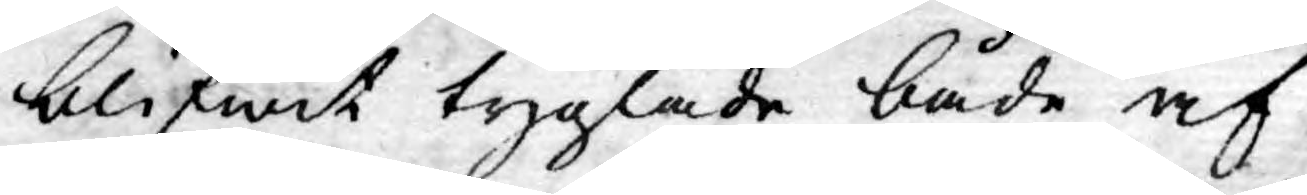blifwit tyglade både af
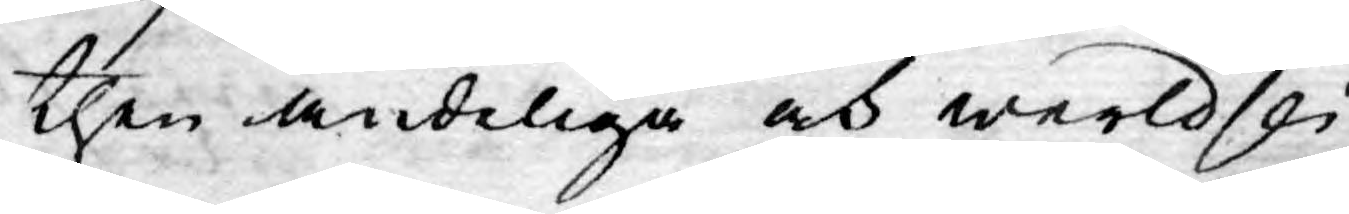then andeliga och werldsli¬
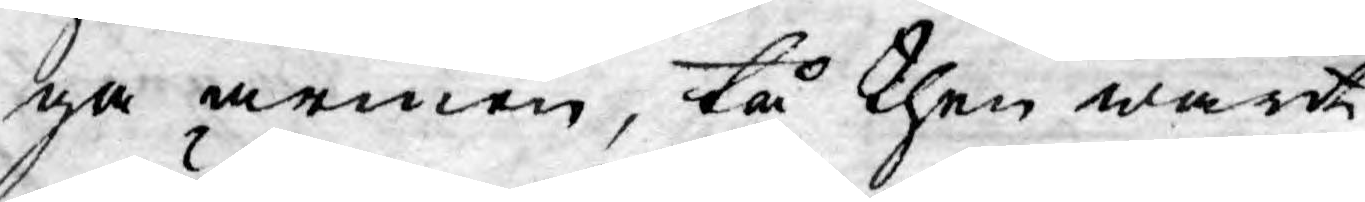ga armen, tå then warit
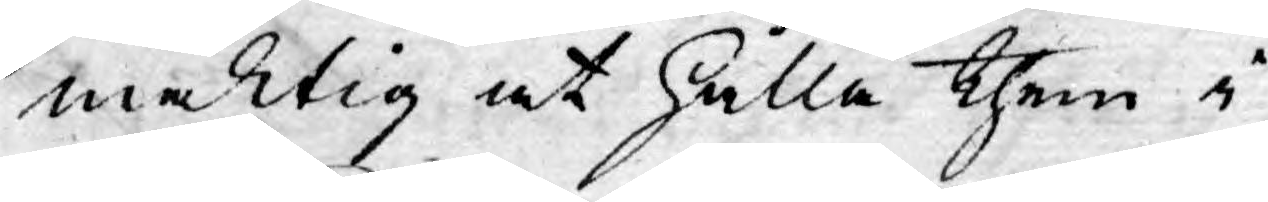mäktig at hålla them i
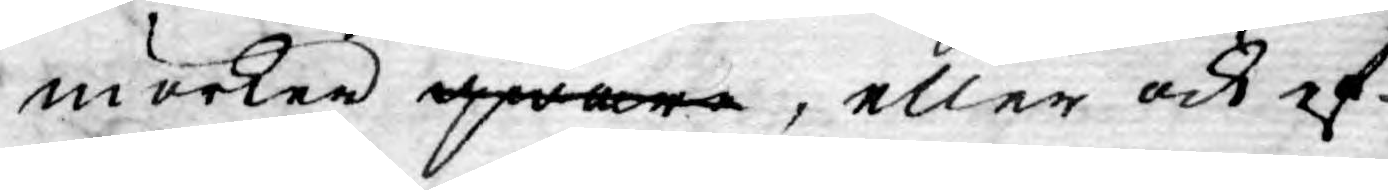mörker qwar, eller ock ef¬
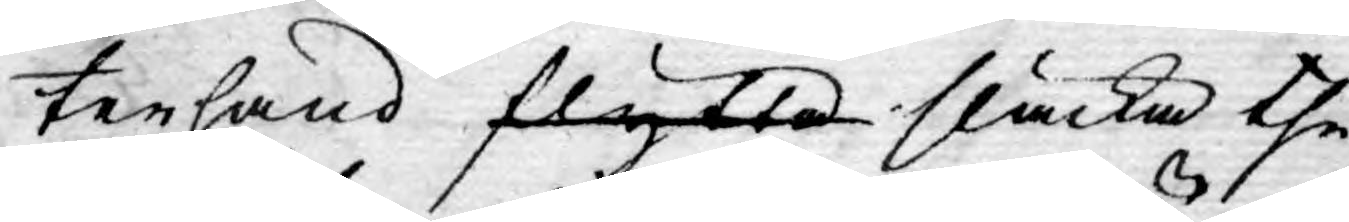terhand flytta släcka the
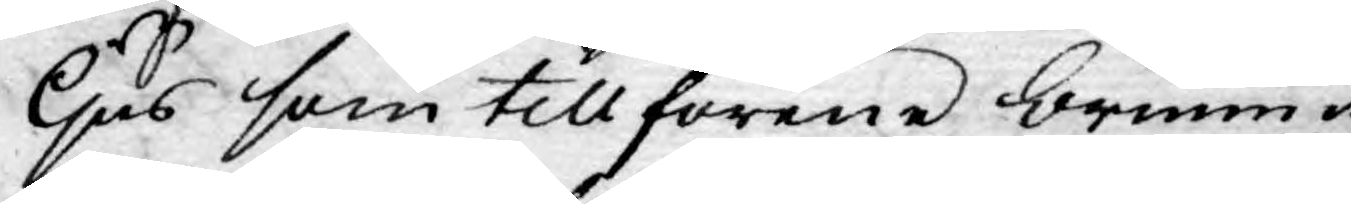ljus som tillförene brunnit;
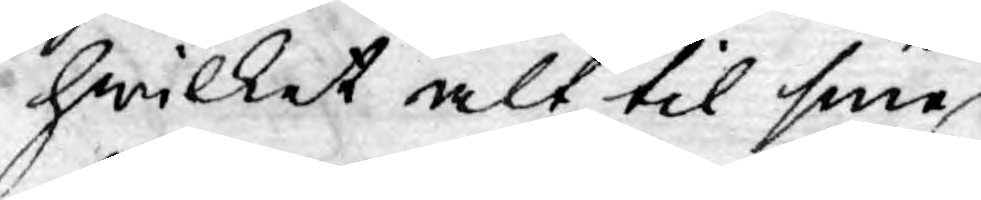hwilket alt til sine
